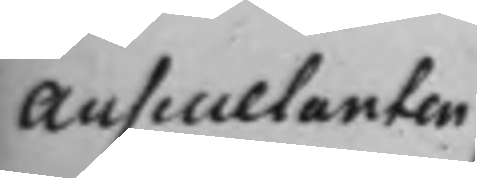Auscultanten
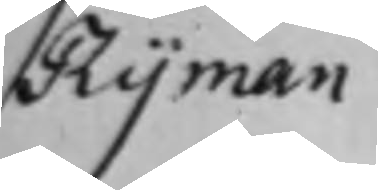Ryman
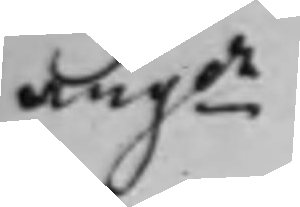angde
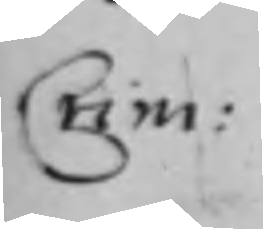Crim:
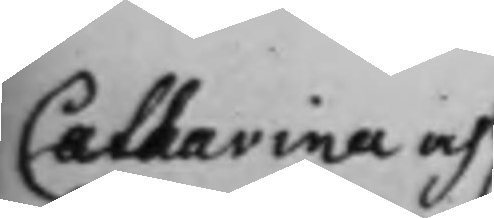Catharina och
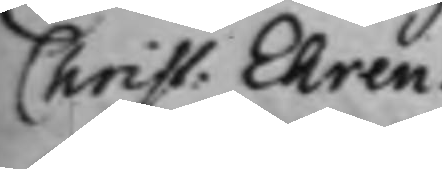Christ. Ehren¬
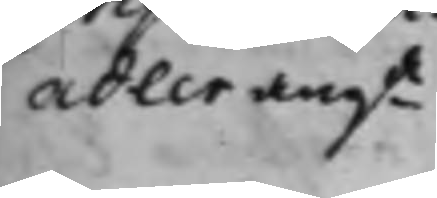adler angde
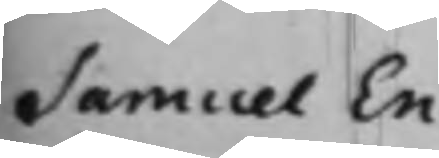Samuel En¬
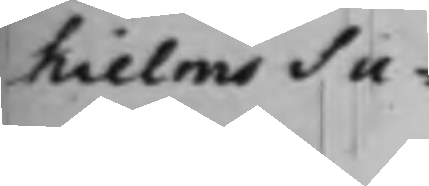hielms Su¬
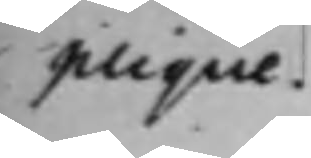plique.
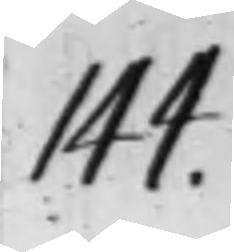144.
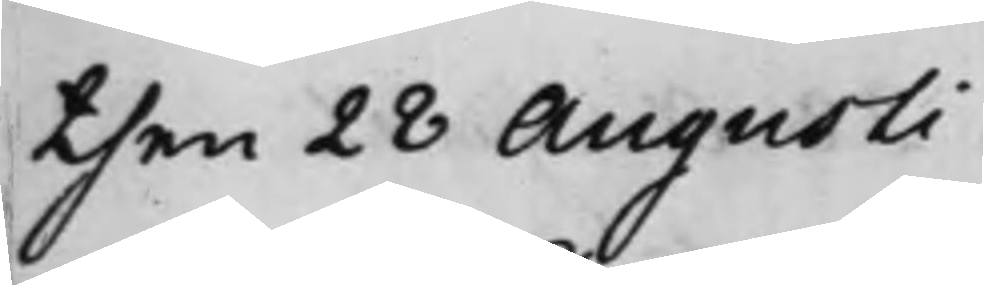then 28 Augusti
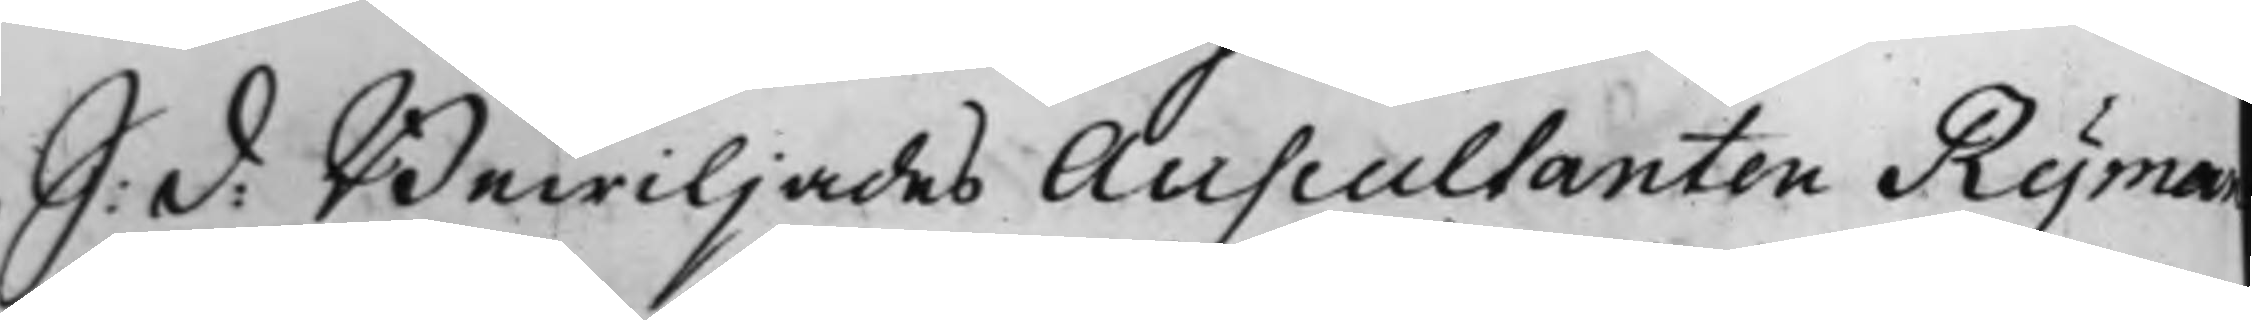S: d: Bewiljades Auscultanten Ryman
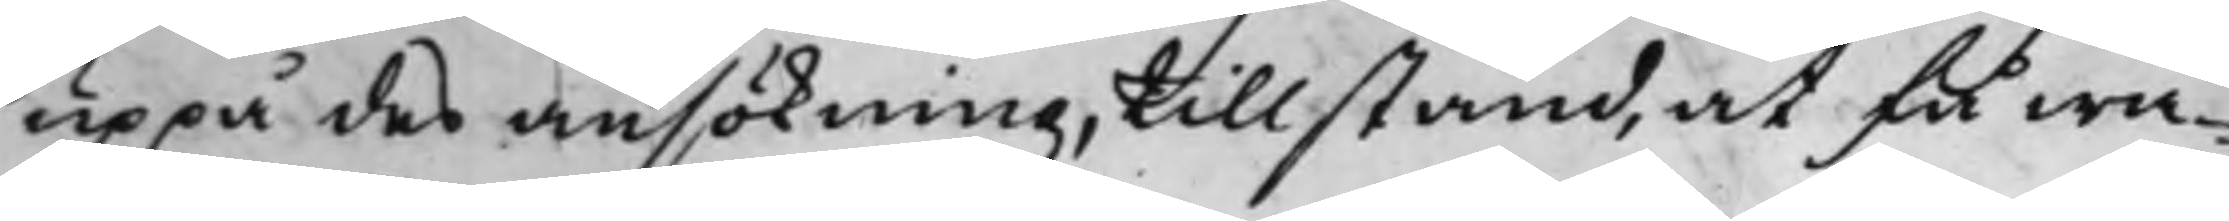uppå des ansökning, tillstånd, at få wa¬
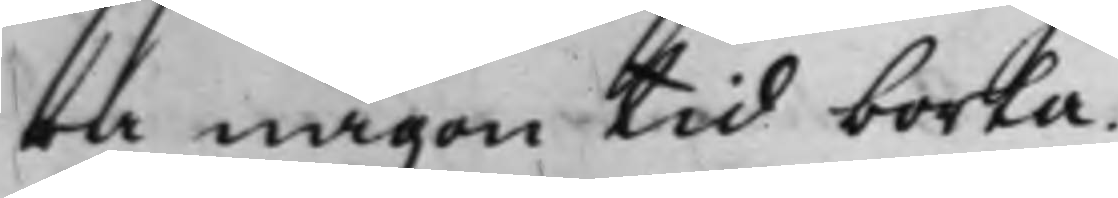ra någon tid borta.
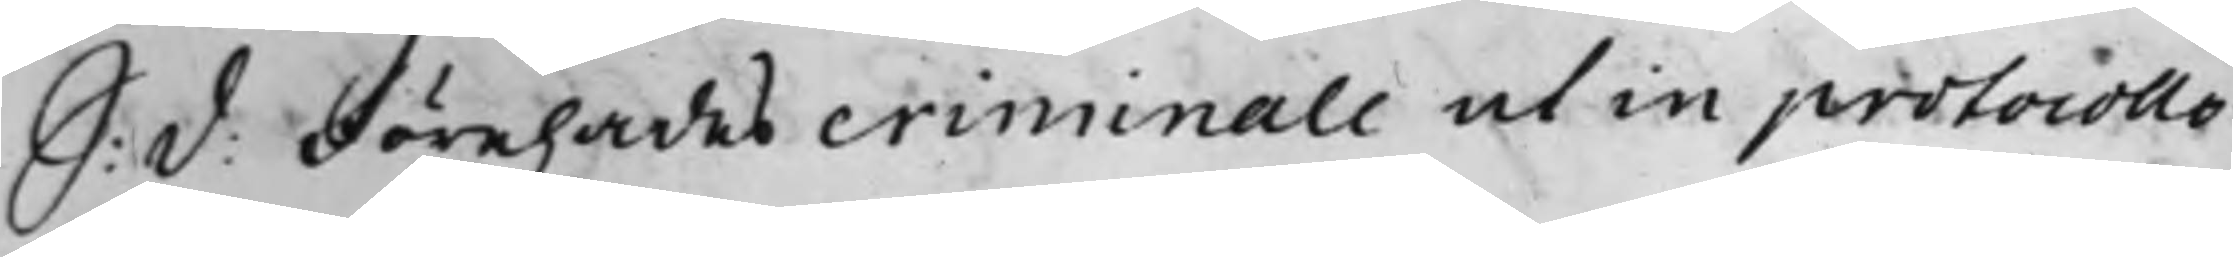S: d: Förehades criminale ut in protocollo
